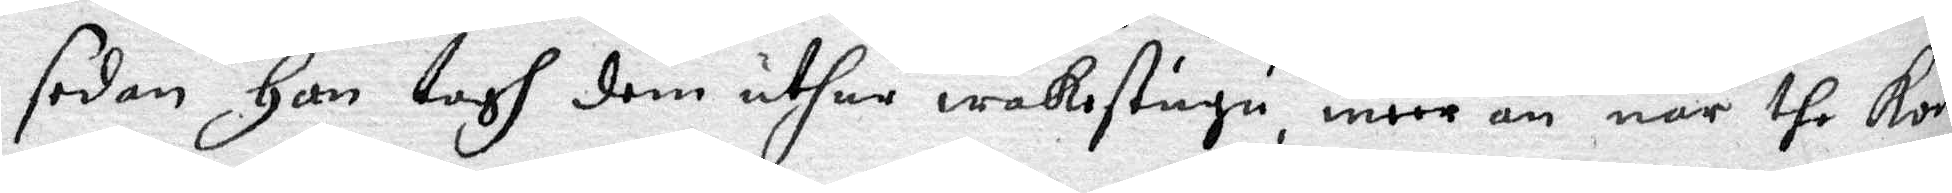sedan Han togh dem uthur wakostugu, meer än när the kome
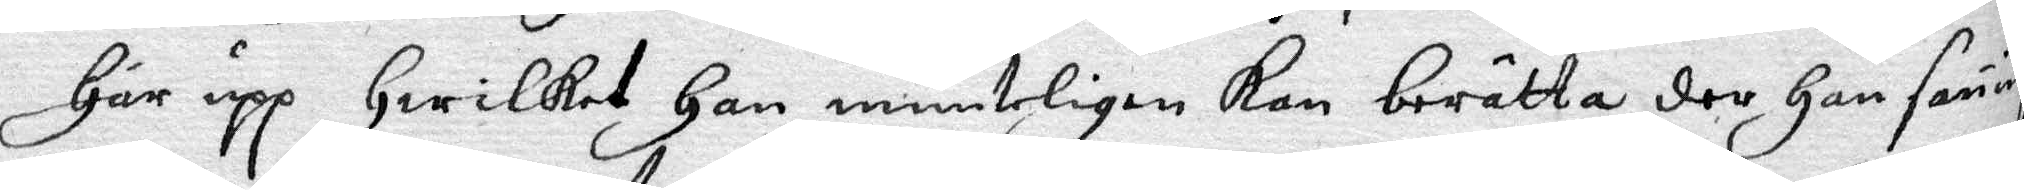Här upp Hwilket Han munteligen Kan berätta der Han sanningen
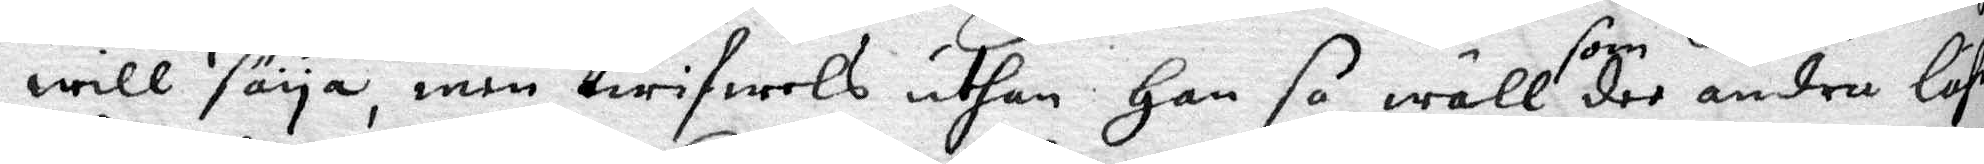will säya, men twifwels uthan Han so wäll som dee andre lähr
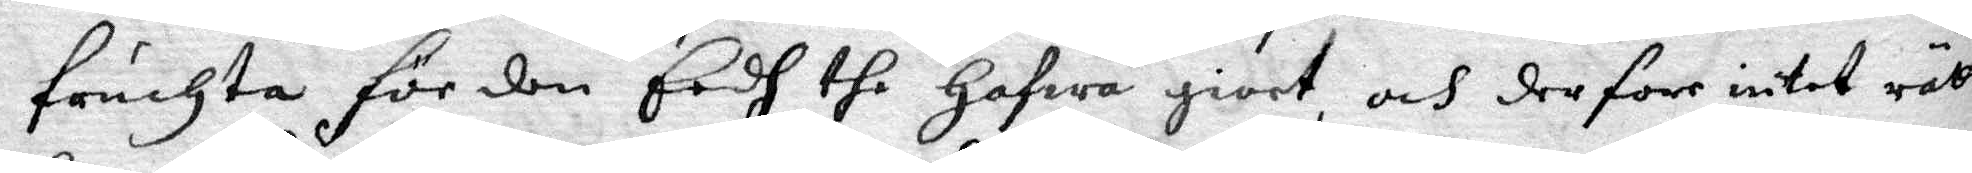fänchta för den Eedh the Hafwa giort, och derföre intet rätte¬
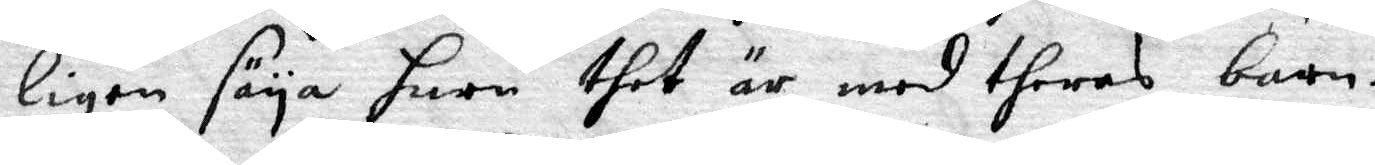ligen säya huru thet är med theras barn.
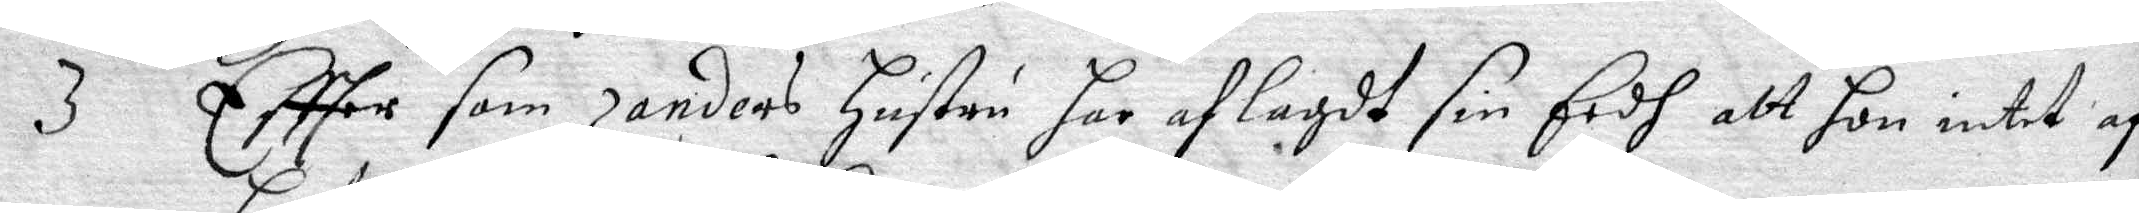3 Effter som Zanders Hustru har aflagdt sin Eedh att hon intet af
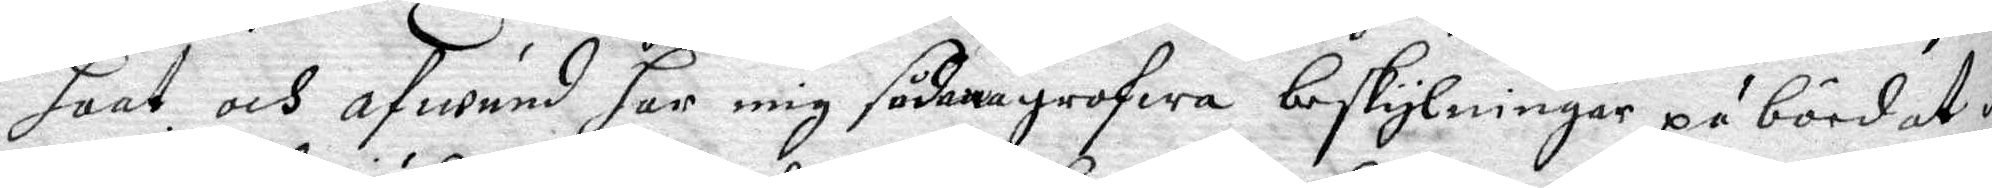haat och afwund har mig sådana grofwa beskyllningar påbördat dy
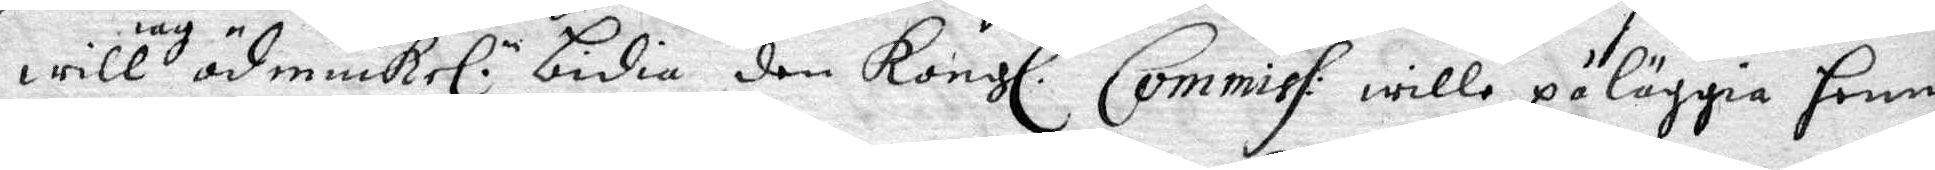will iag ödmiuke. n bidia den Kongl. Commiss. wille påläggia henne
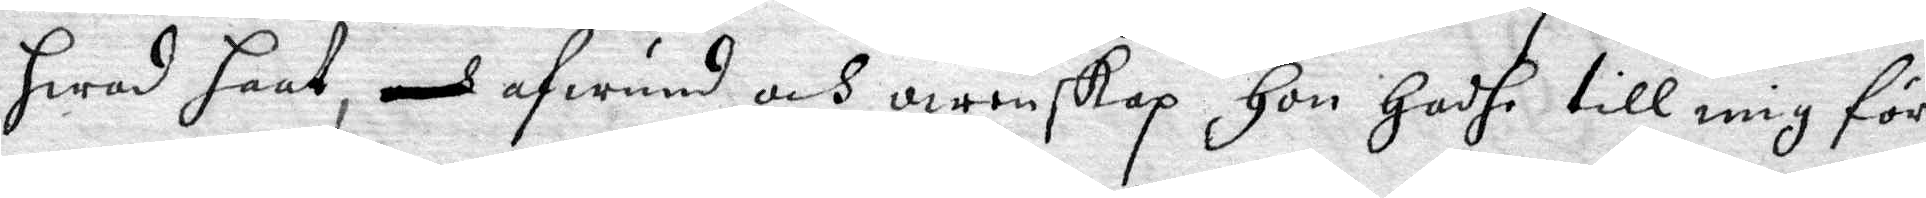hwad haat, afwund och owenskap Hon Hadhe till mig för
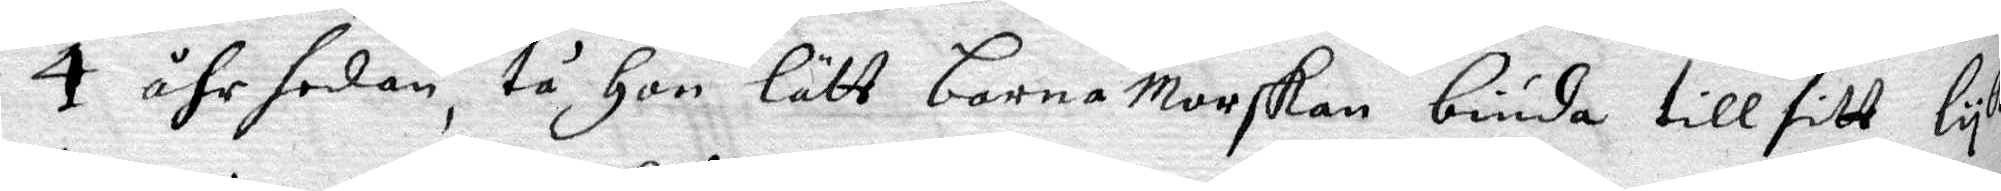4 åhr sedan, tå Hon lätt barnamorskan biuda till sitt lyk
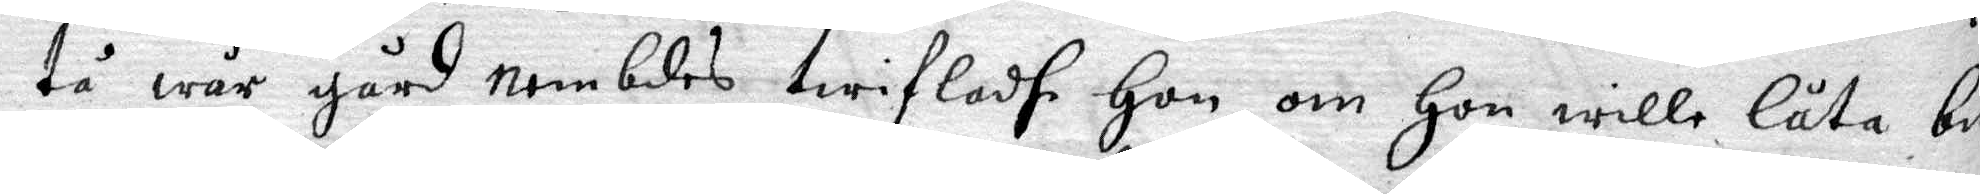tå wår gård nembdes twifladhe Hon om Hon wille låta biu¬
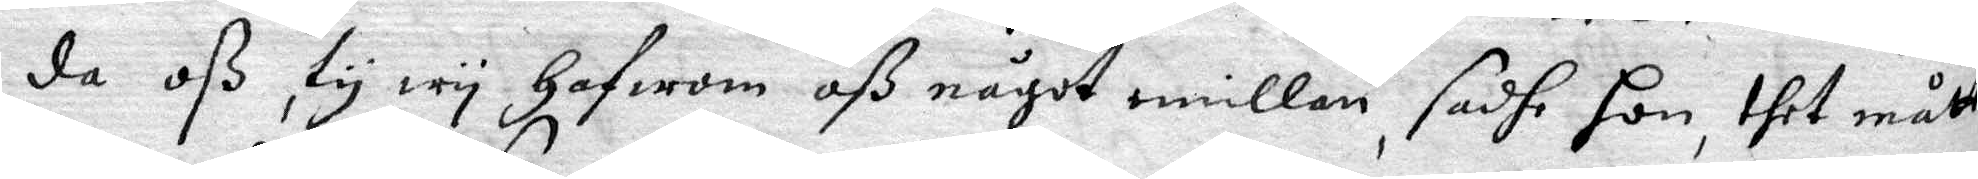da oß, ty wy Hafwom oß något emillan, sadhe hon, thet måtte
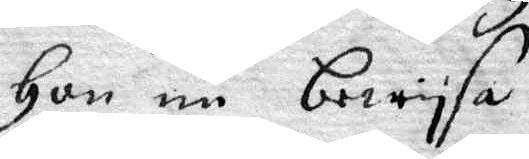Hon nu bewysa.
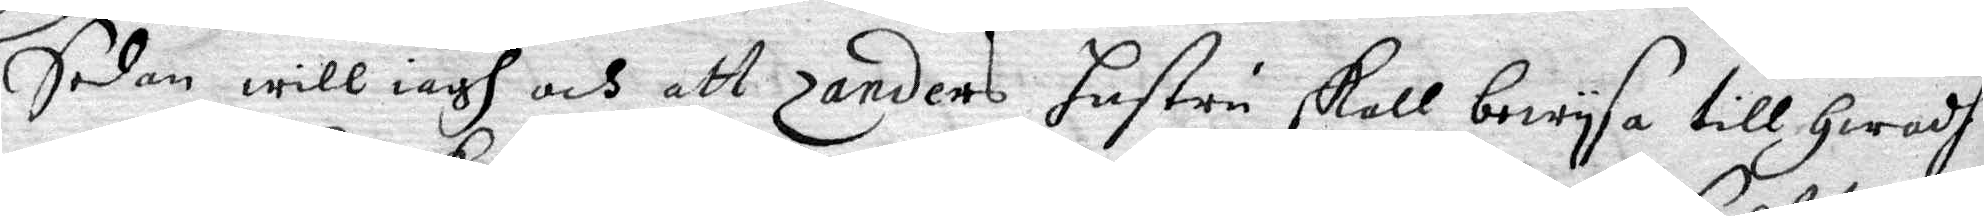Sedan will iagh att Zanders hustru skall bewysa till Hwadh
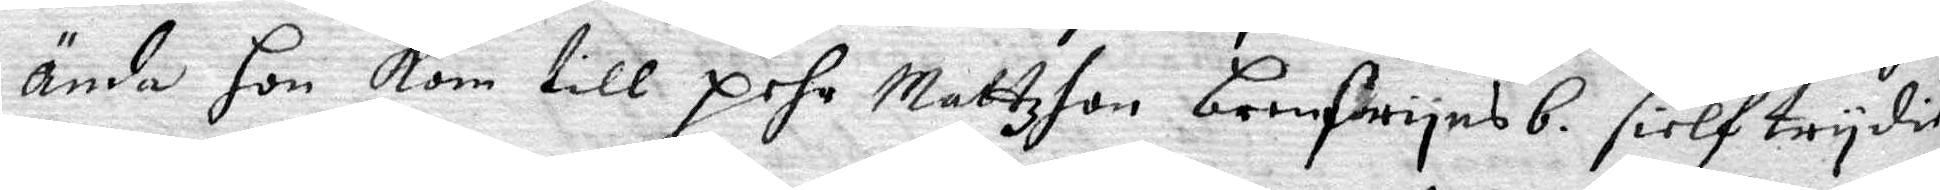ända hon kom till pehr Mattzon brenfwynsb. sielf trydie
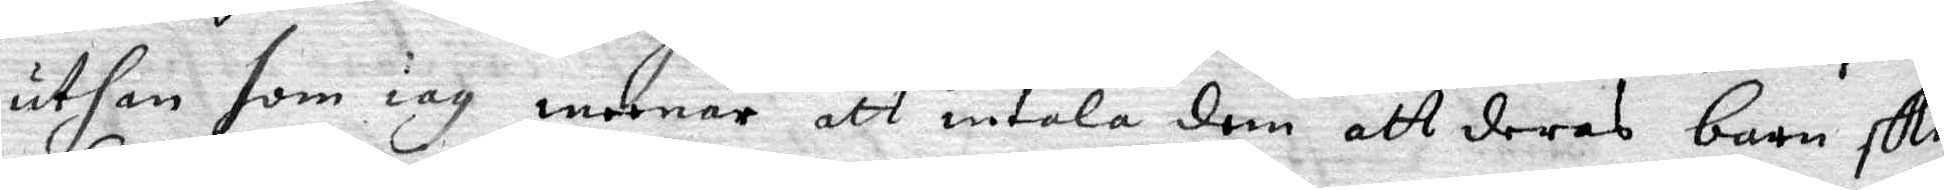uthan som iag meenar att intala dem att deras barn skulle
